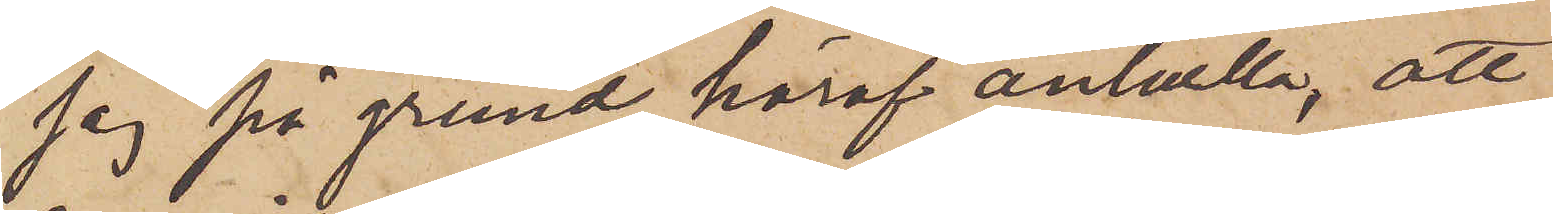jag på grund häraf anhållla, att
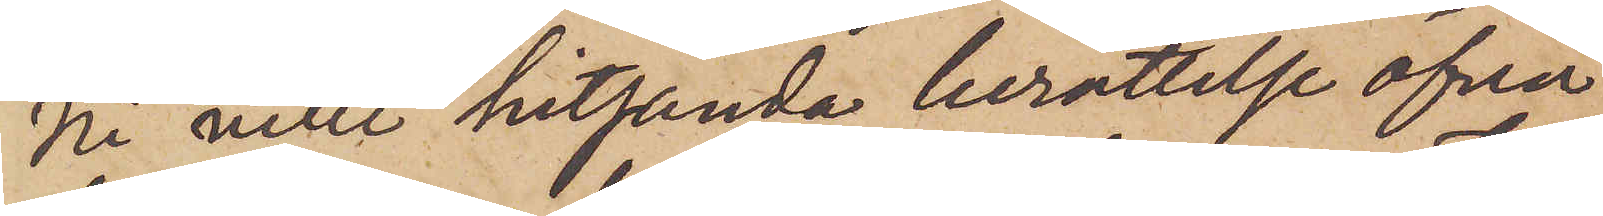Ni ville hitsända berättelse öfver
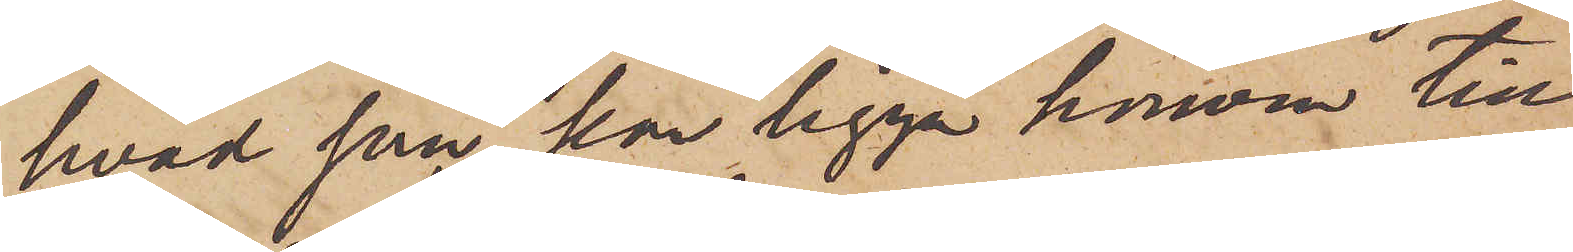hvad som kan ligga honom till
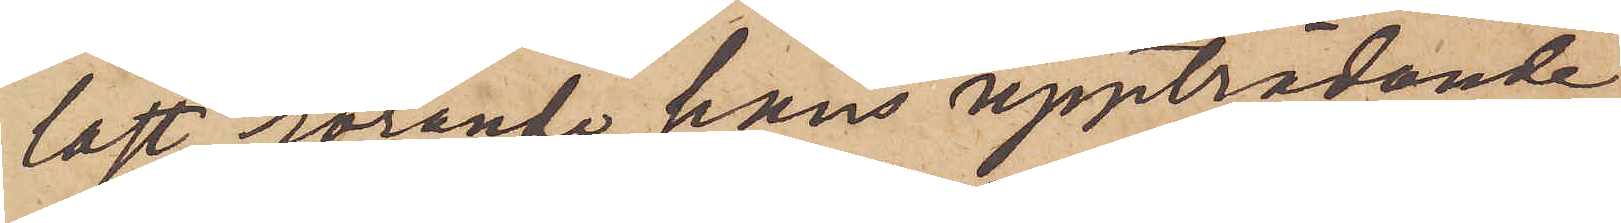last rörande hans uppträdande
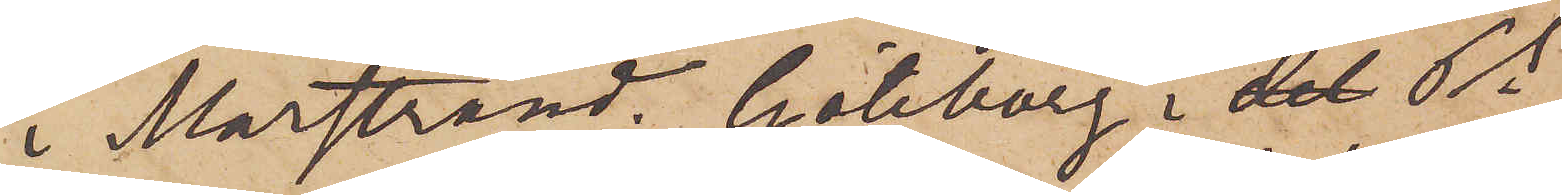i Marstrand. Göteborg i det Pks
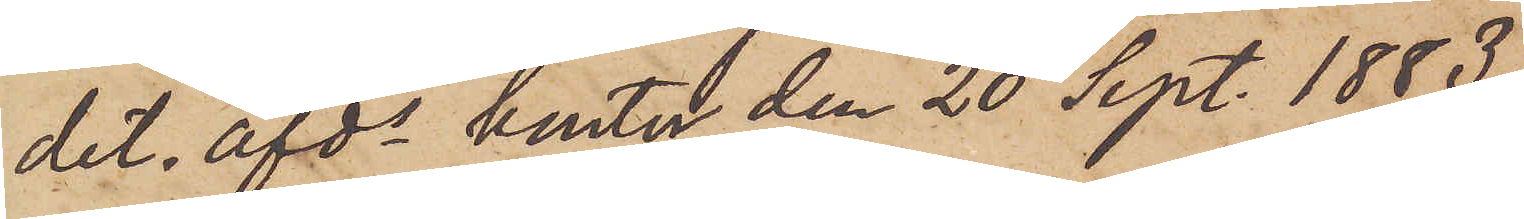det. afds kontor den 20 Sept. 1883.
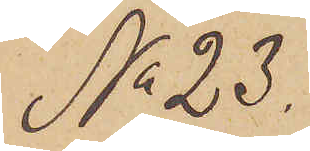No 23.
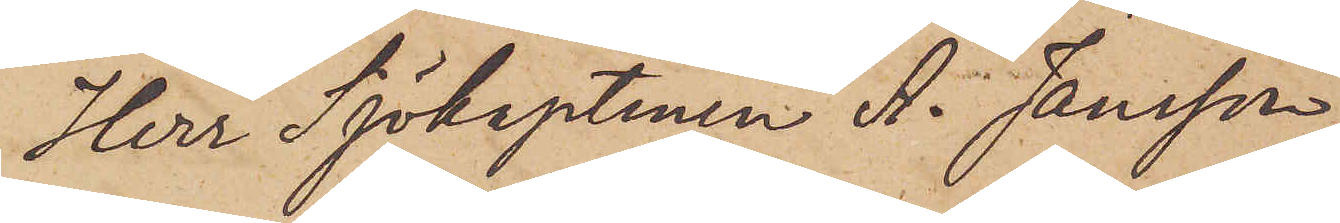Herr Sjökaptenen A. Jansson
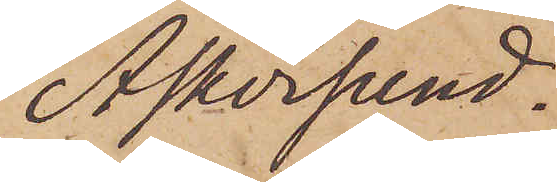Askersund.
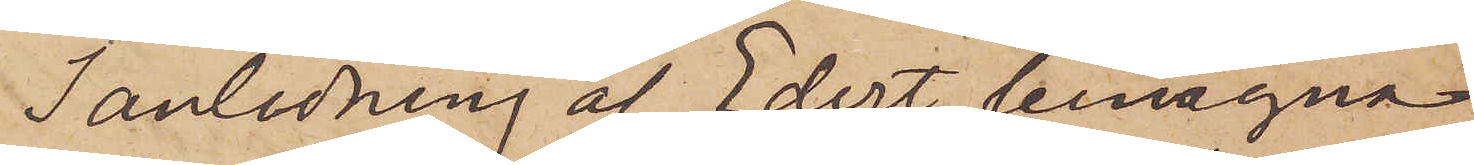I anledning af Edert begnägna
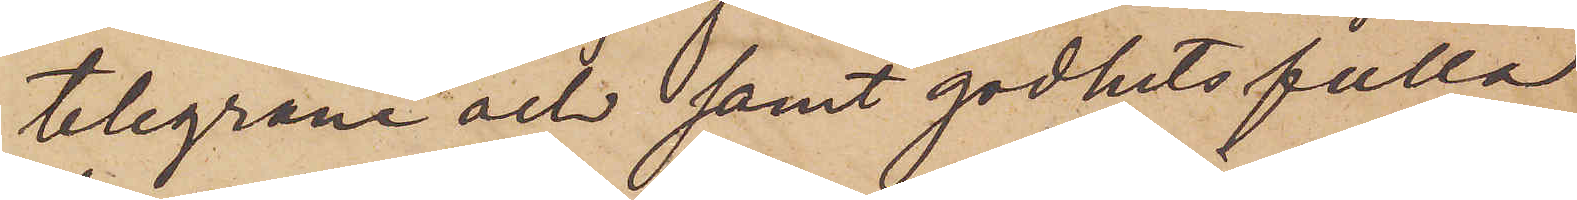telegram och samt godhetsfulla
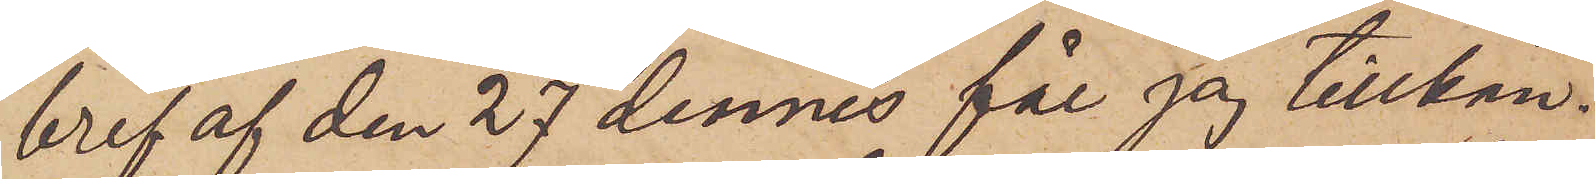bref af den 27 dennes får jag tillkän¬
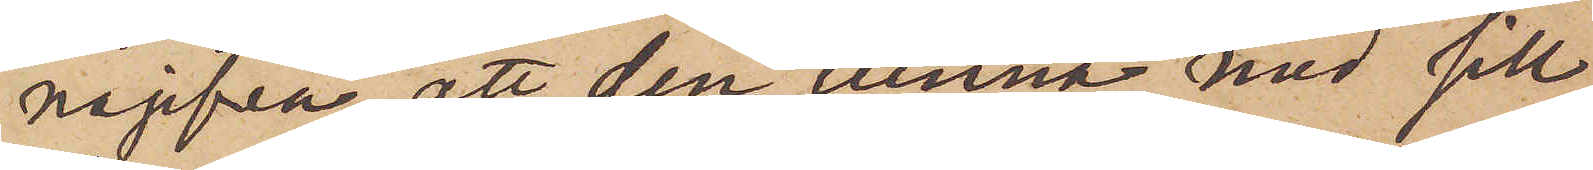nagifva, att den tunna med sill,
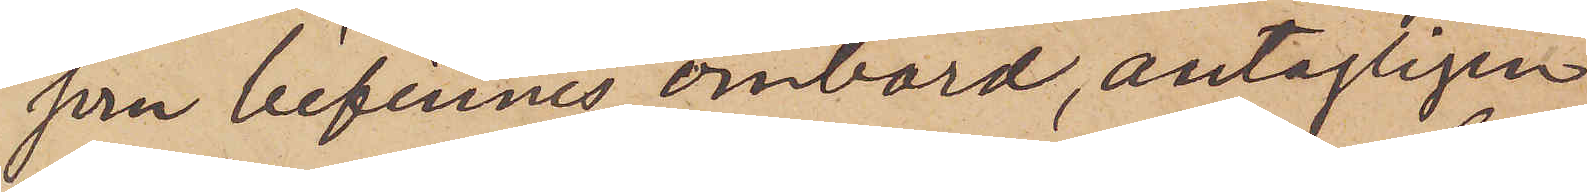som befinnes ombord, antagligen
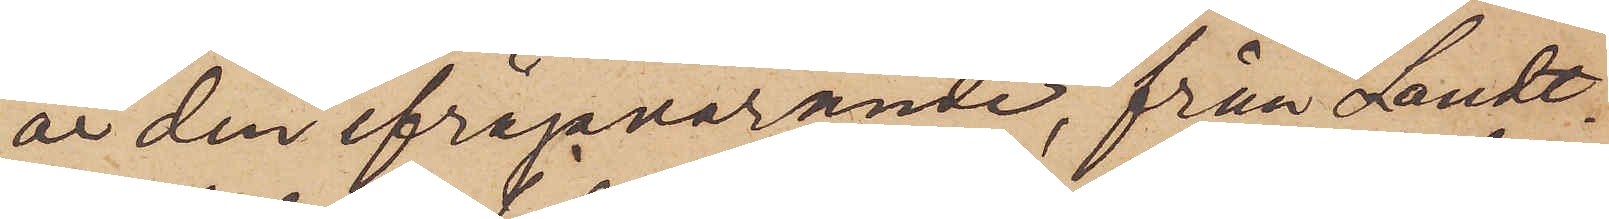är den ifrågavarande, från Landt¬
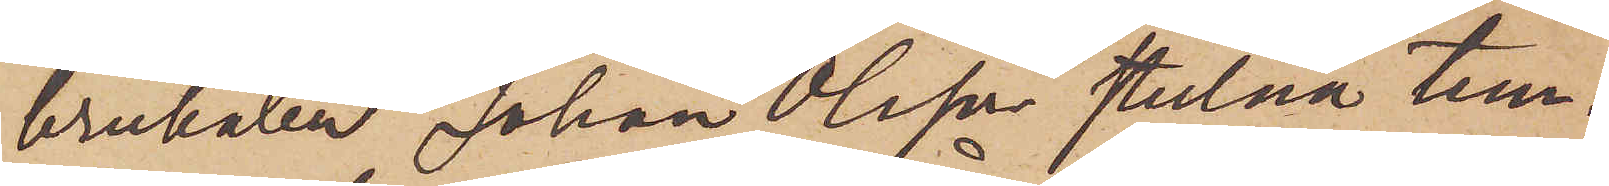brukaren Johan Olsson stulna tun¬
